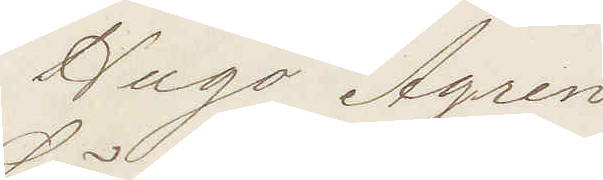Hugo Ågren
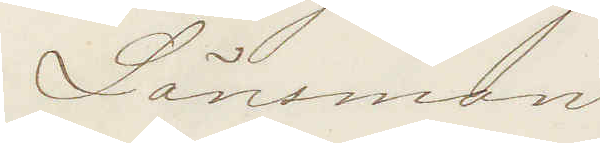Länsman
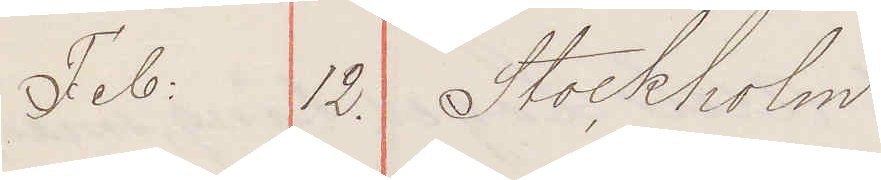Feb 12. Stockholm
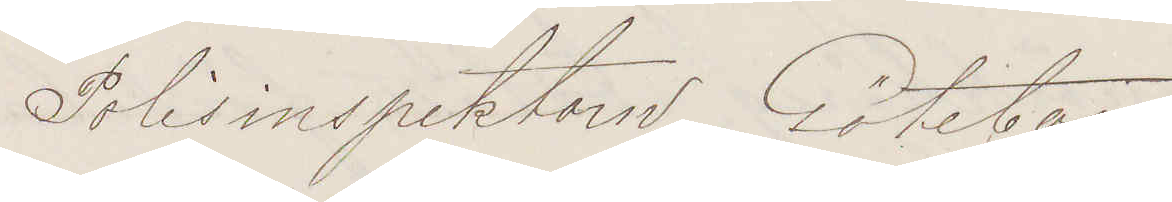Polisinspektorn Göteborg
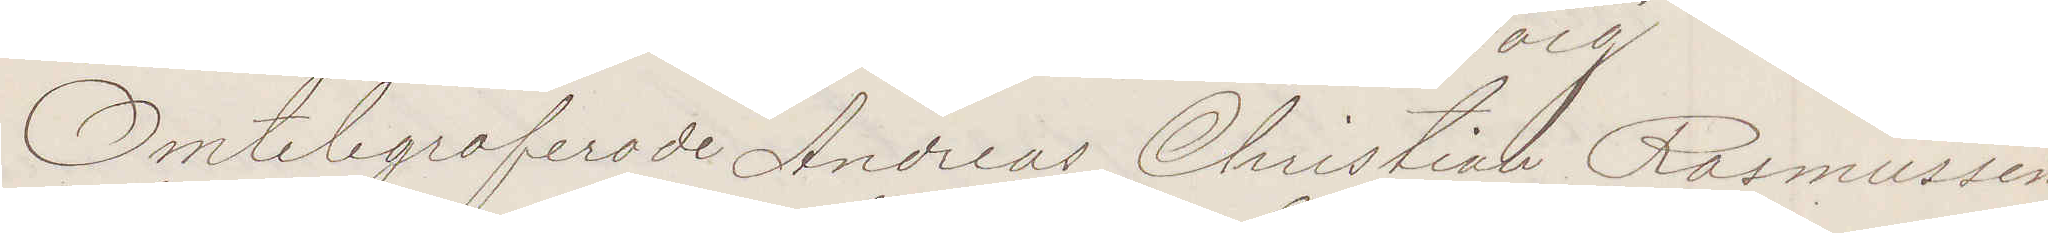Omtelegraferade Andreas Christian Rasmussen
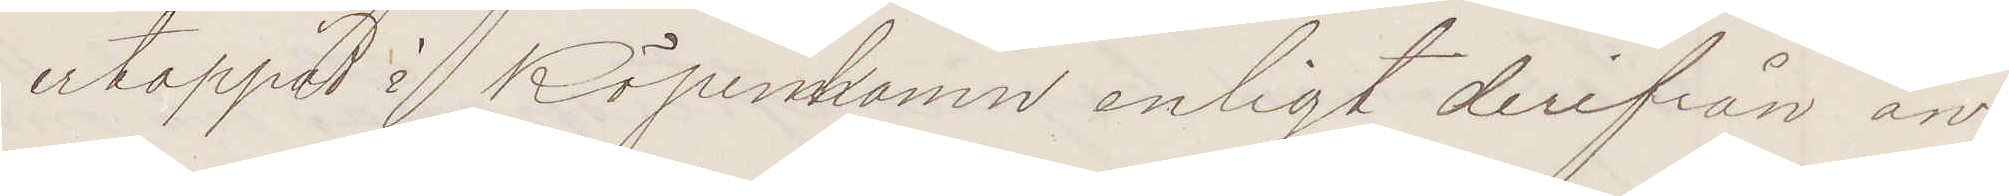ertappad i Köpenhamn enligt derifrån an¬
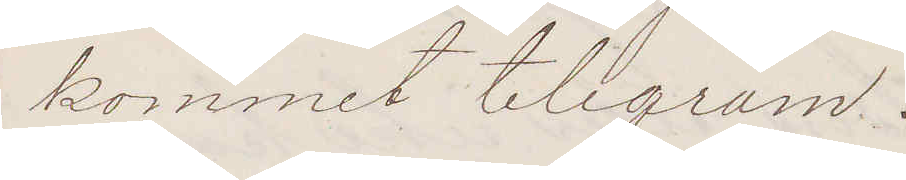kommet telegram!
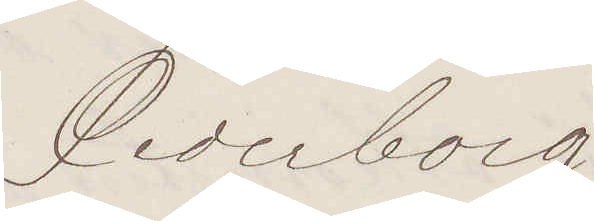Cederborg
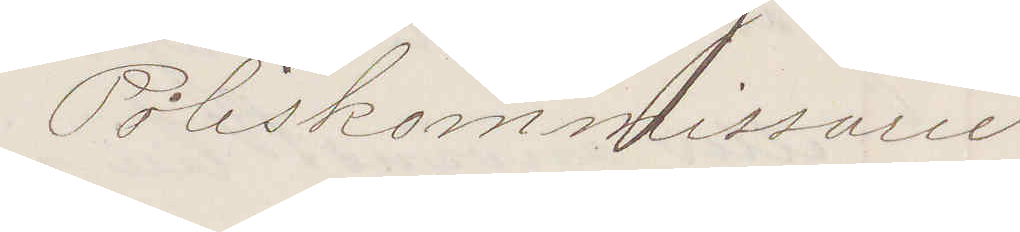Poliskommissarie
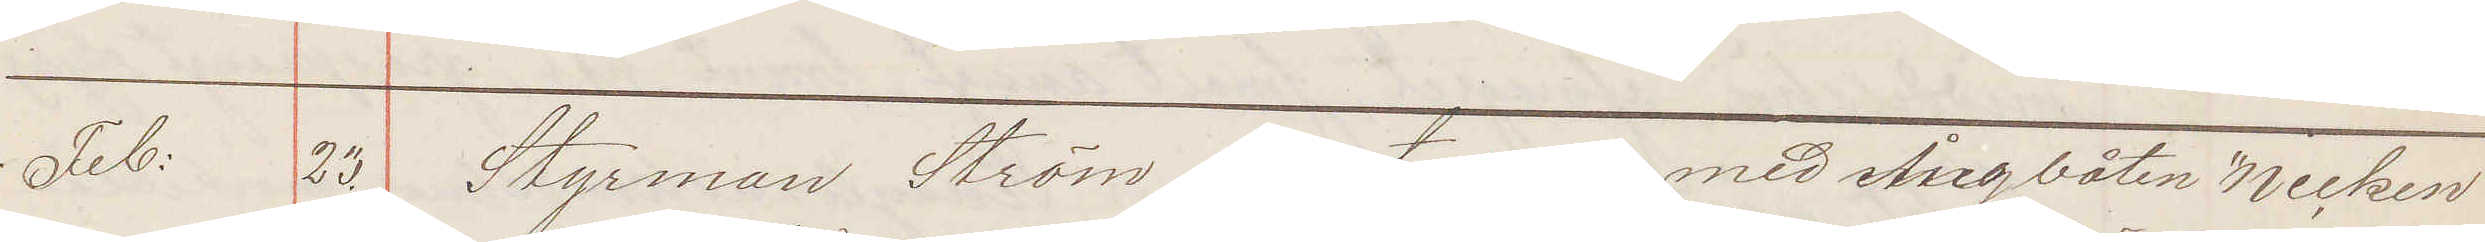Febr: 23. Styrman Ström afreste i dag med Ångbåten "Necken"
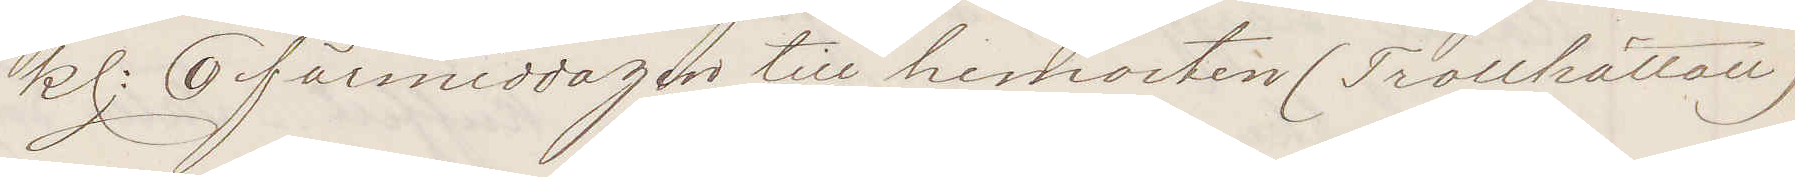kl: 9 förmiddagen till hemorten (Trollhättan).
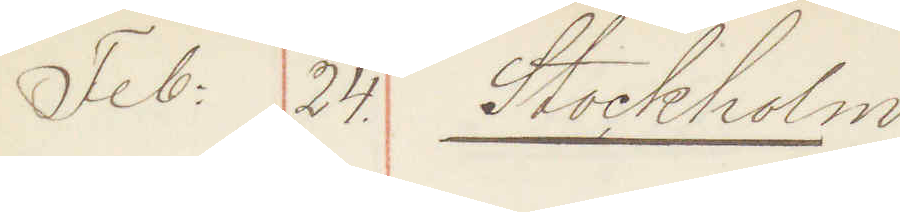Feb: 24 Stockholm
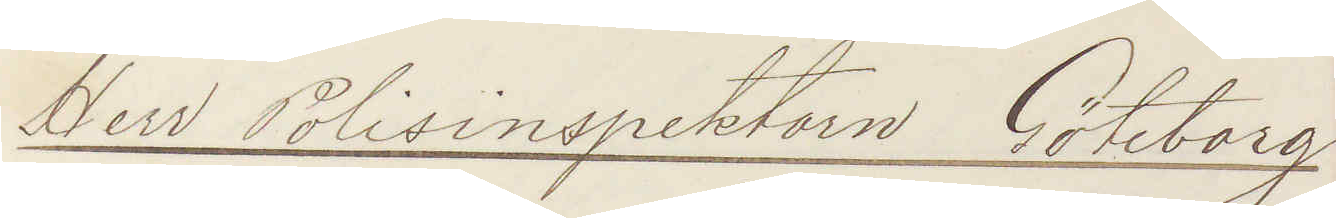Herr Polisinspektorn Göteborg
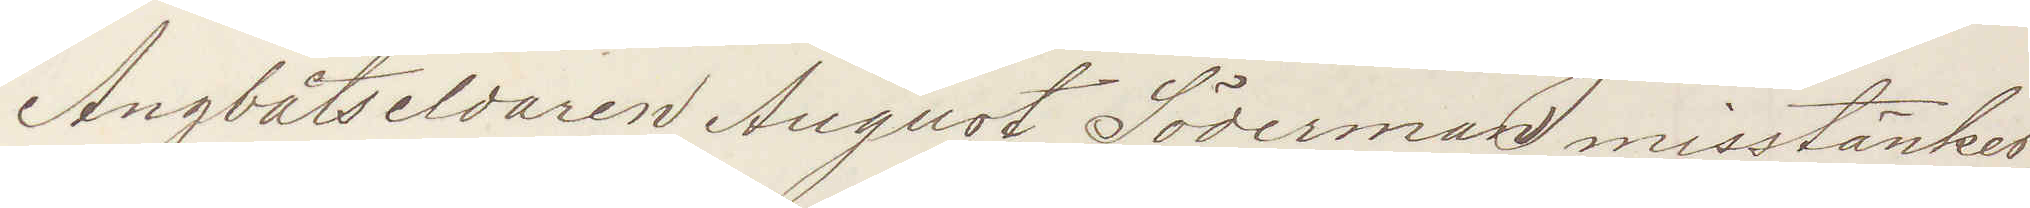Ångbåtseldaren August Söderman misstänkes
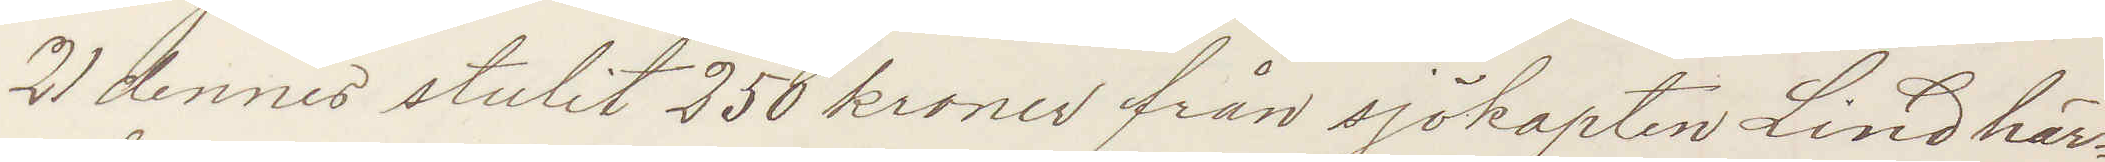21 dennes stulit 250 kronor från sjökapten Lind här¬
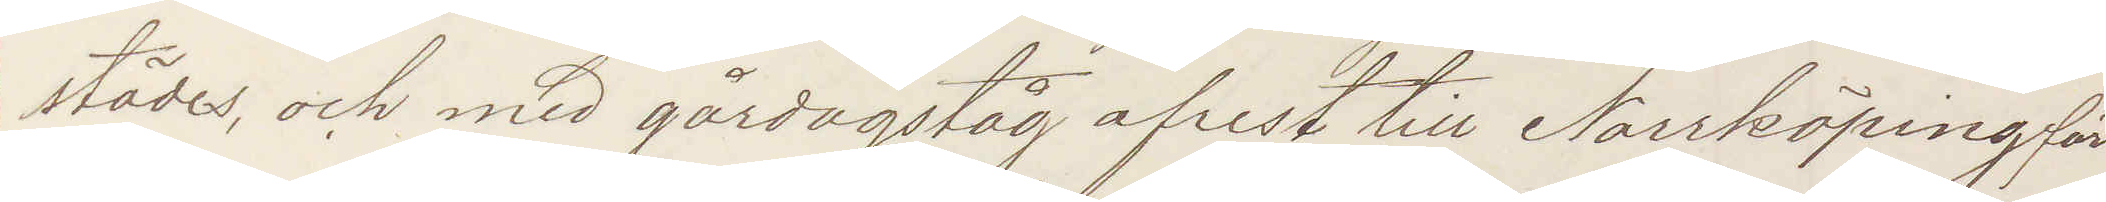städes, och med gårdagståg afrest till Norrköping för
